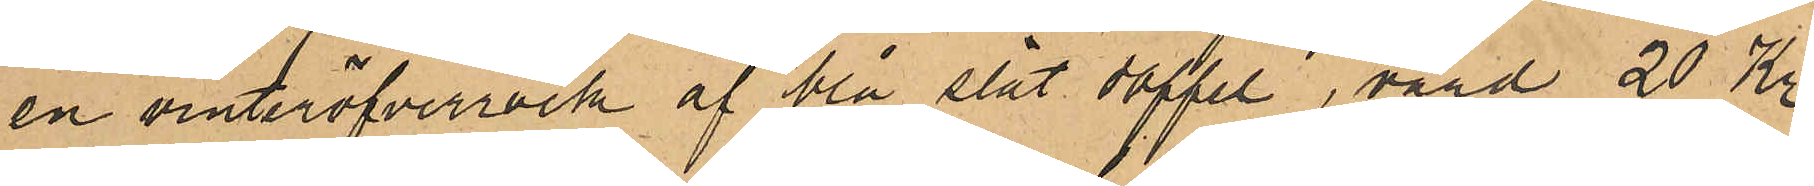en vinteröfverrock af blå slät doffel, värd 20 Kr;
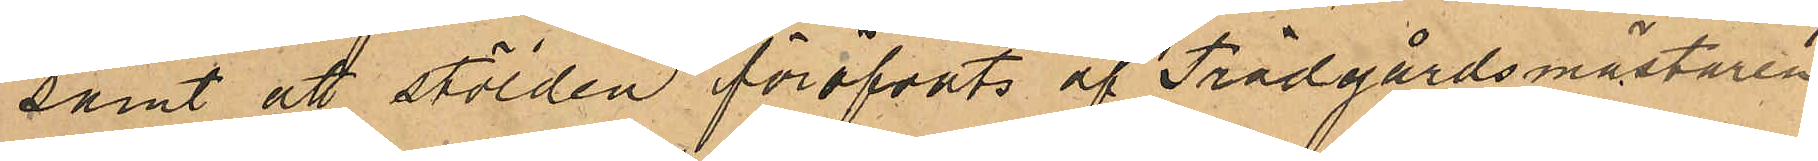samt att stölden föröfvats af Trädgårdsmästaren
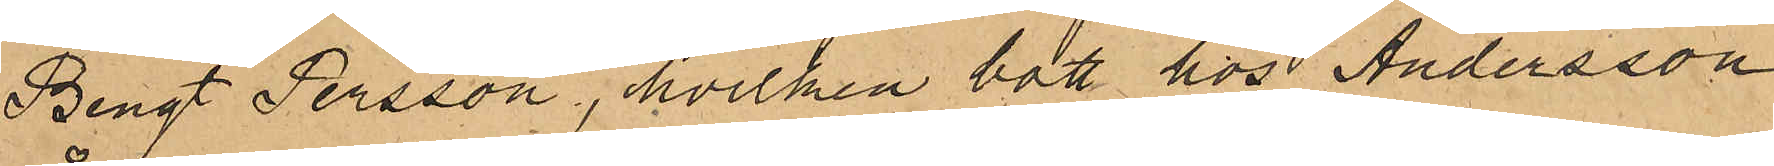Bengt Persson, hvilken bott hos Andersson
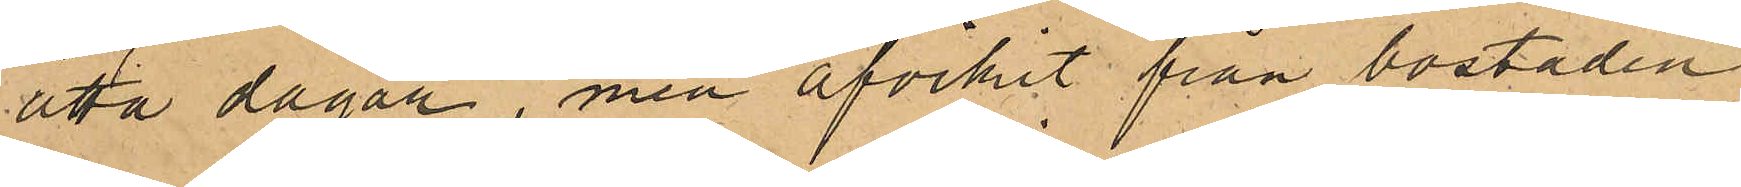åtta dagar, men afvikit från bostaden
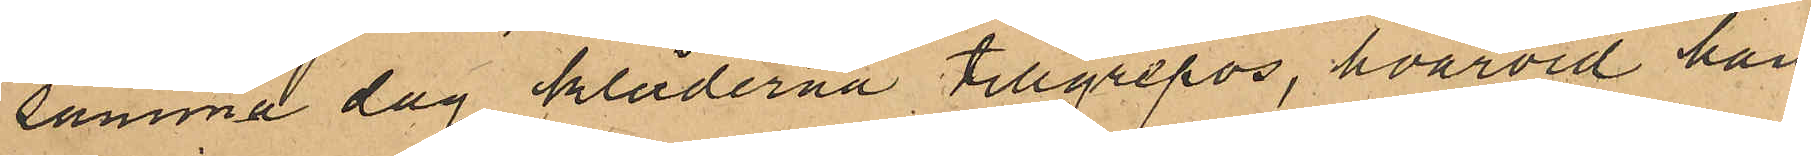samma dag kläderna tillgrepos, hvarvid han
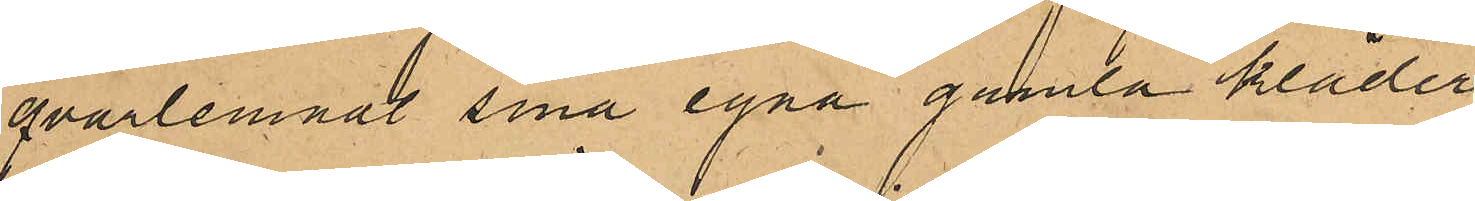qvarlemnat sina egna gamla kläder.
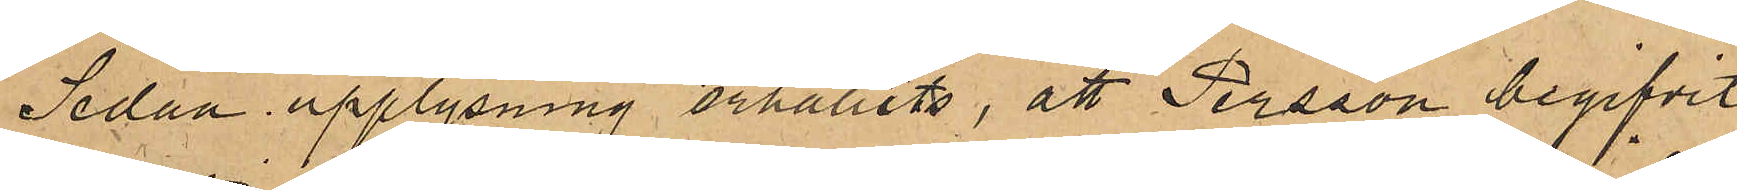Sedan upplysning erhållits, att Persson begifvit
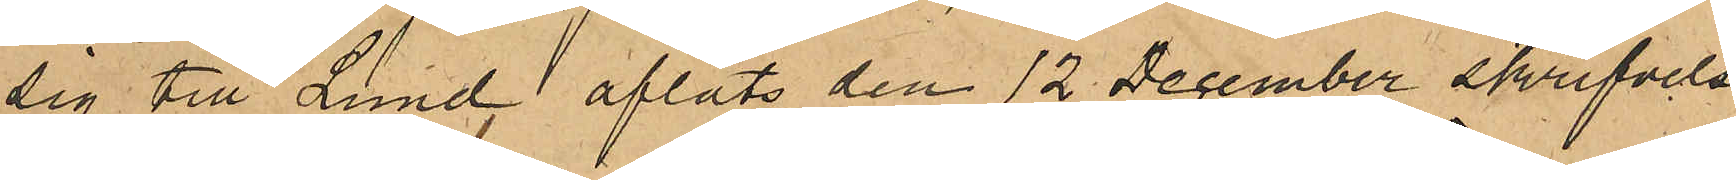sig till Lund, afläts den 12 December skrifvelse
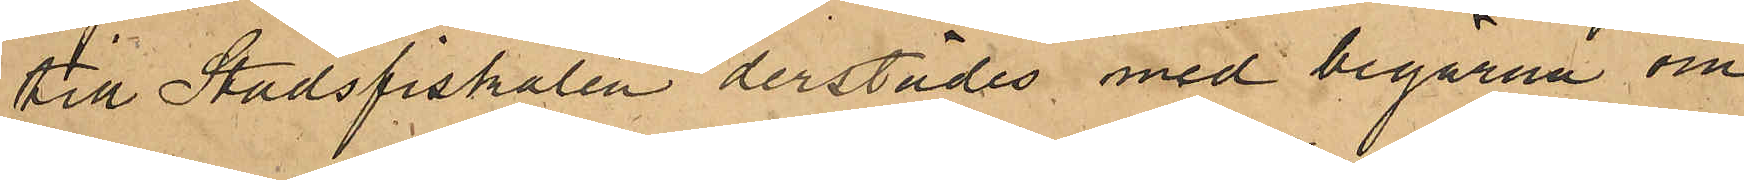till Stadsfiskalen derstädes med begäran om
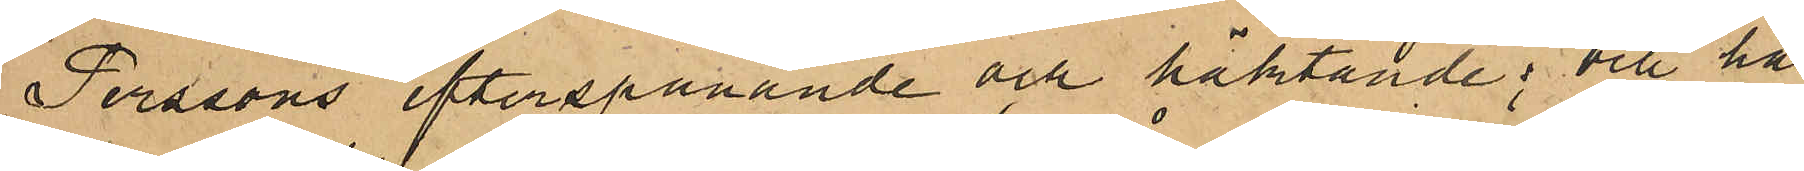Perssons efterspanande och häktande; och har
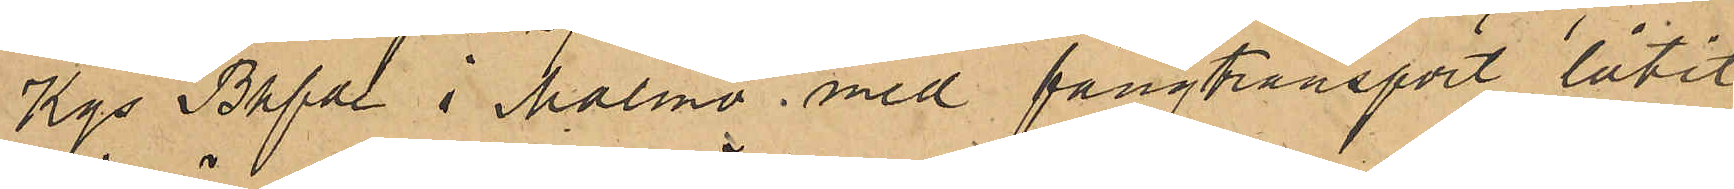Kgs Bhfde i Malmö med fångtransport låtit
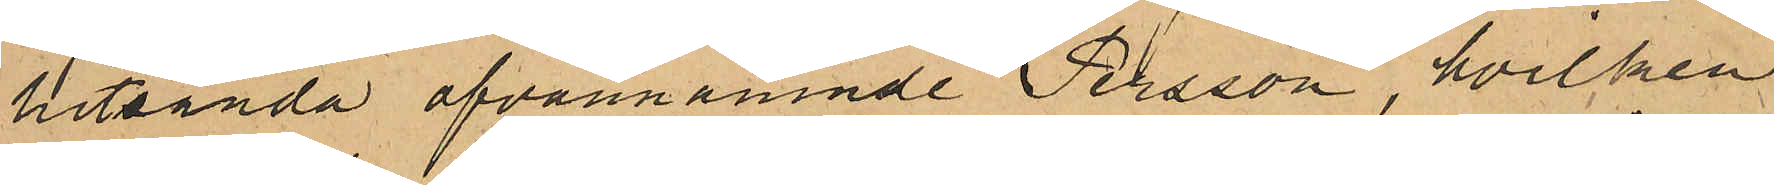hitsända ofvannämnde Persson, hvilken
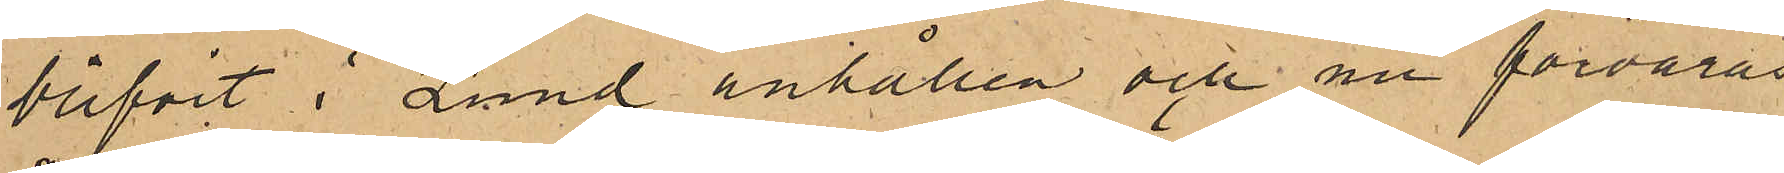blifvit i Lund anhållen och nu förvaras
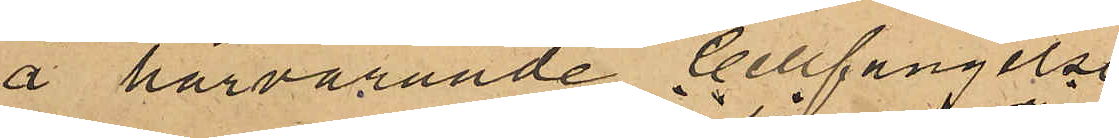å härvarande Cellfängelse.
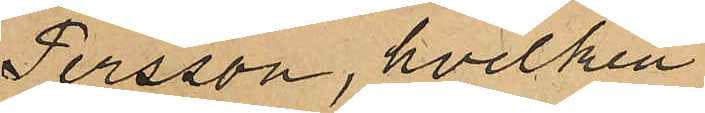Persson, hvilken
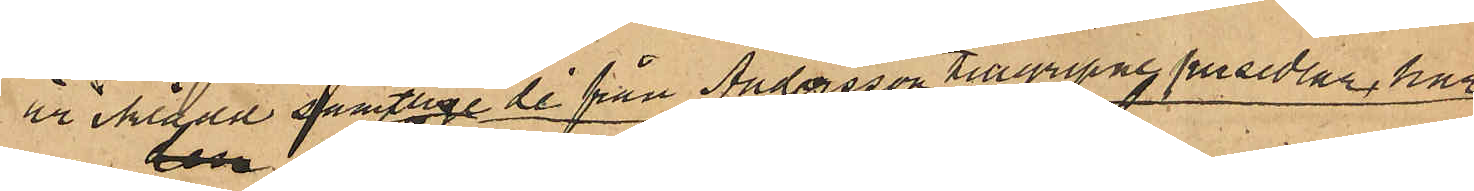är iklädd samtlige de från Andersson tillgripne persedlar, har 
